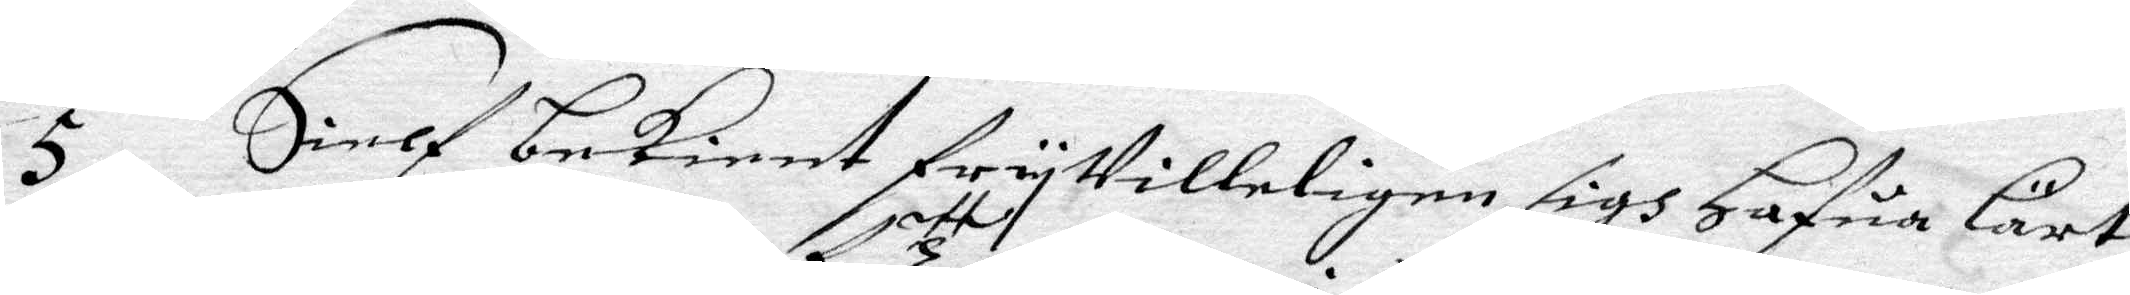5 Sielf bekient fryVilleligen sigh Hafua Lärt
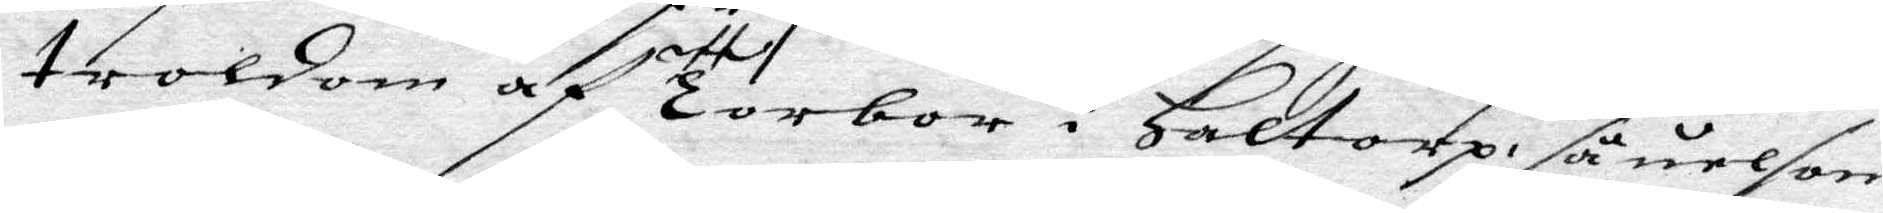troldom af ett Torbor i haltorp såuel som
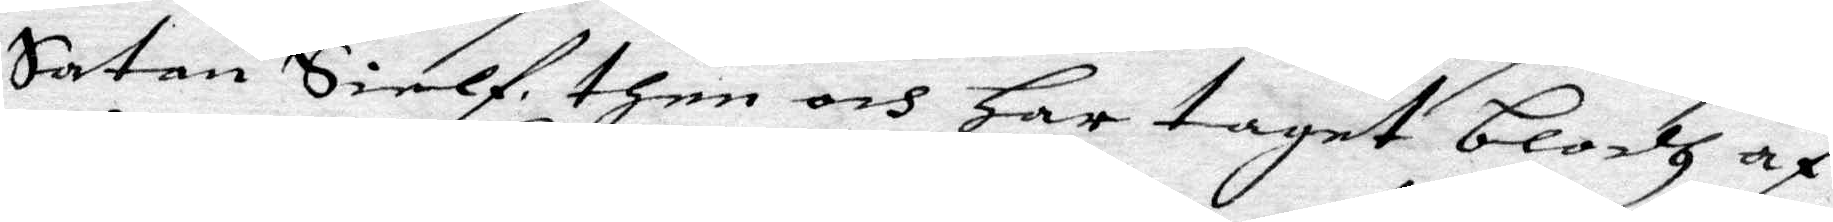Satan Sielf, then och Har taget blodh af
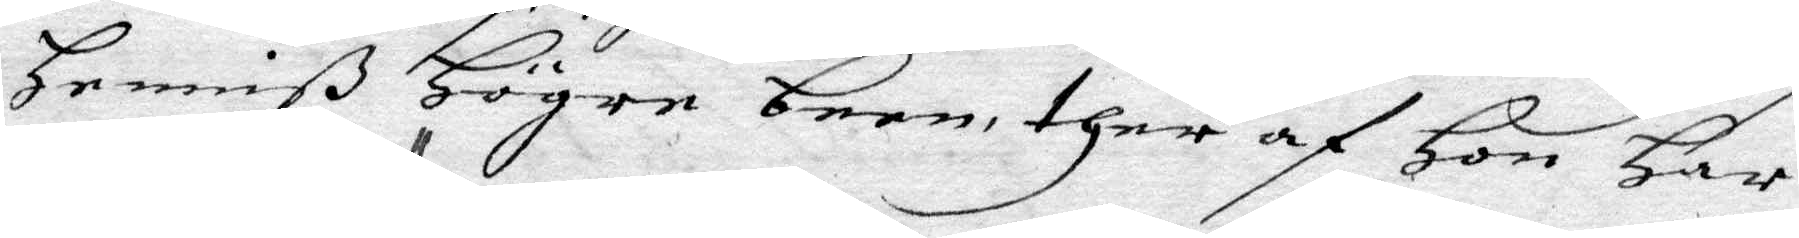Henniß Högre been, ther af Hon har
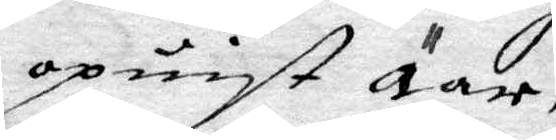opuist Äar,
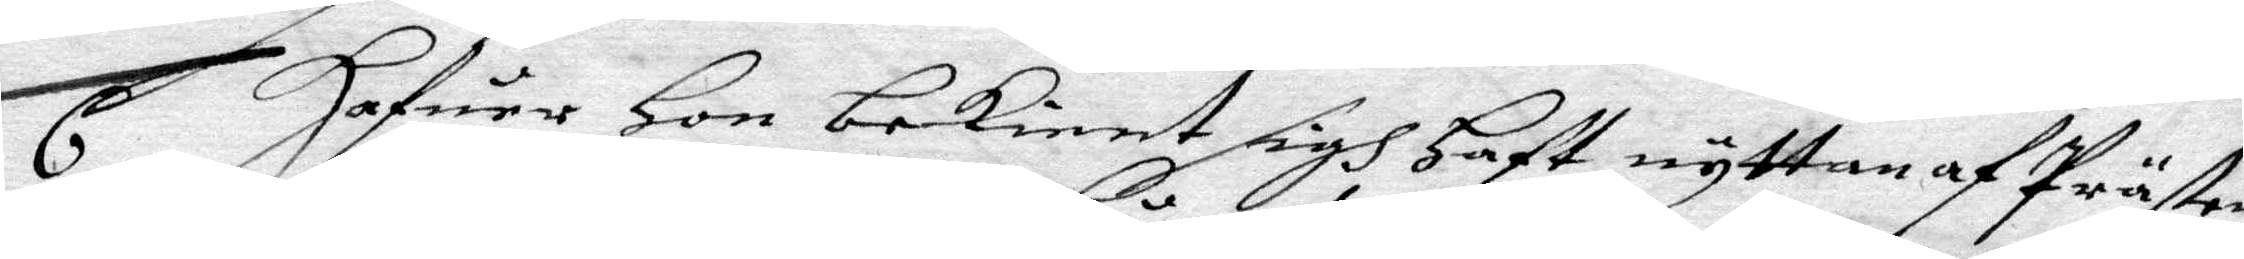6 Hafuer Hon bekient sigh Haft nyttan af Prästens
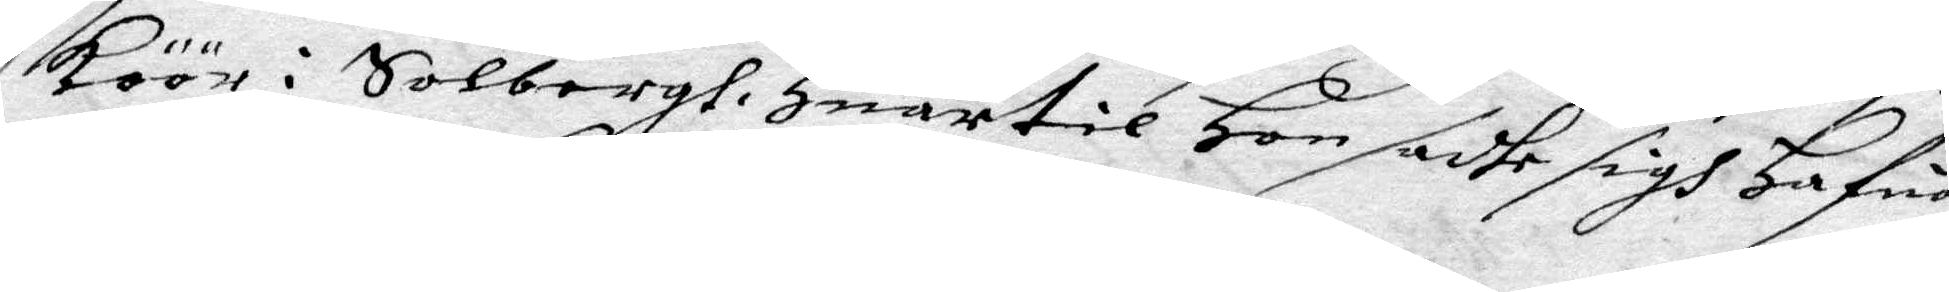köör i Solbergt Huartil Hon sadhe sigh Hafua
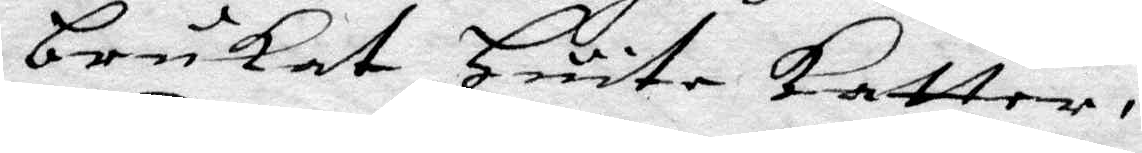brukat Huita katter,
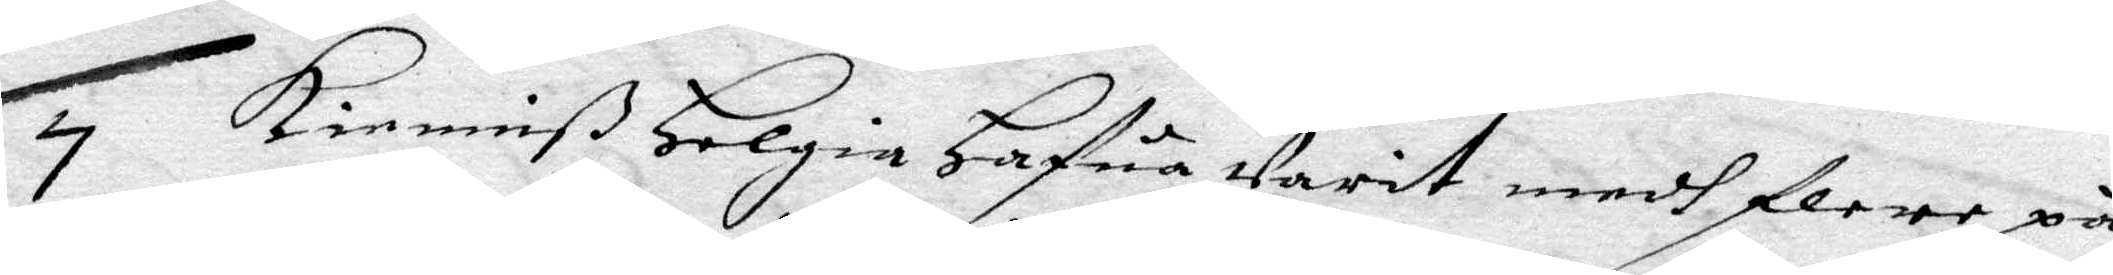7 Kenniß Helgia Hafua Varit medh flere på
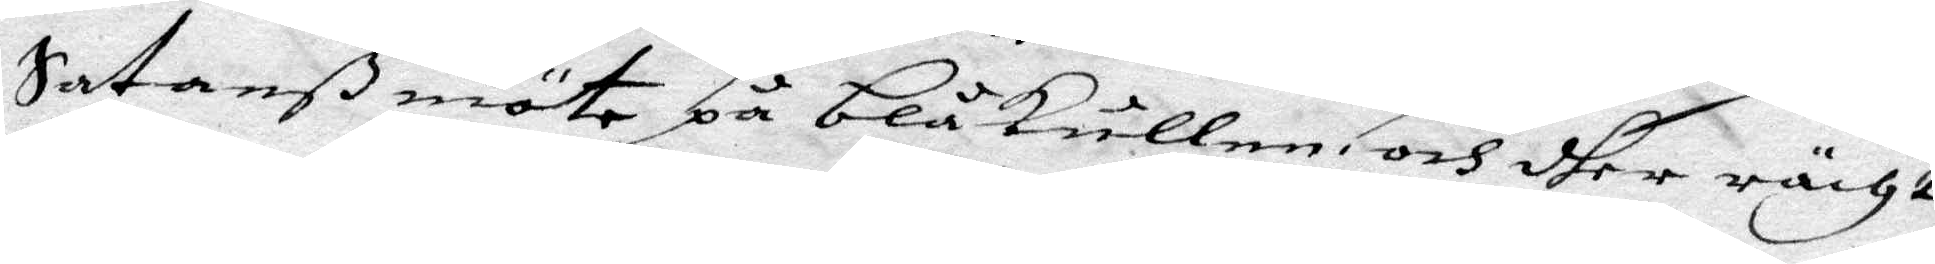Satanß möte på blåkullen och dher rächt
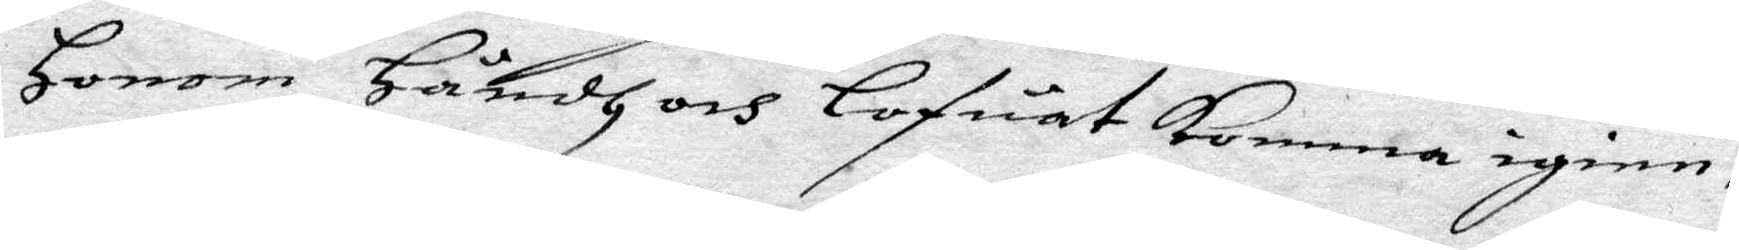Honom Härdh och Lofuat komma igien,
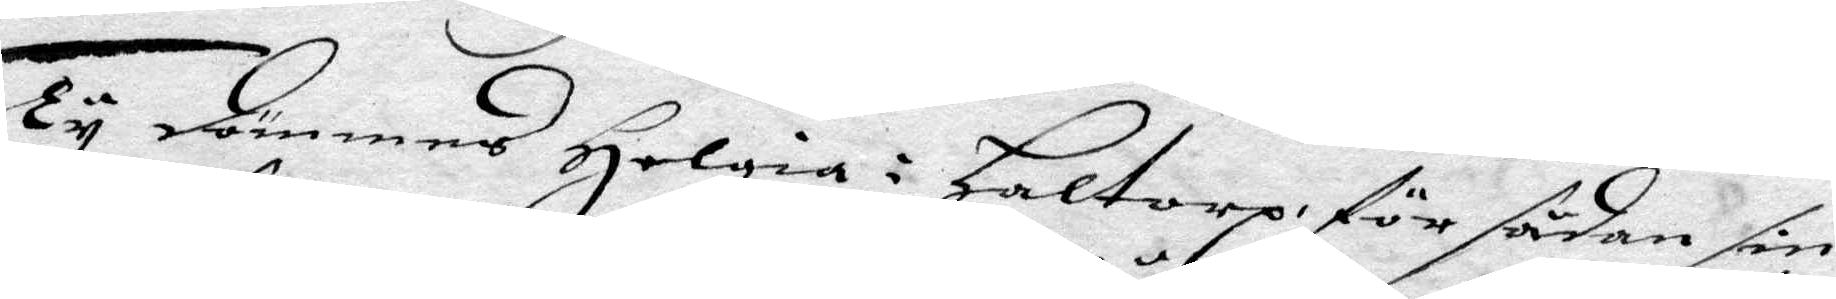Ty dömmes Helgia i haltorp för sådan sin
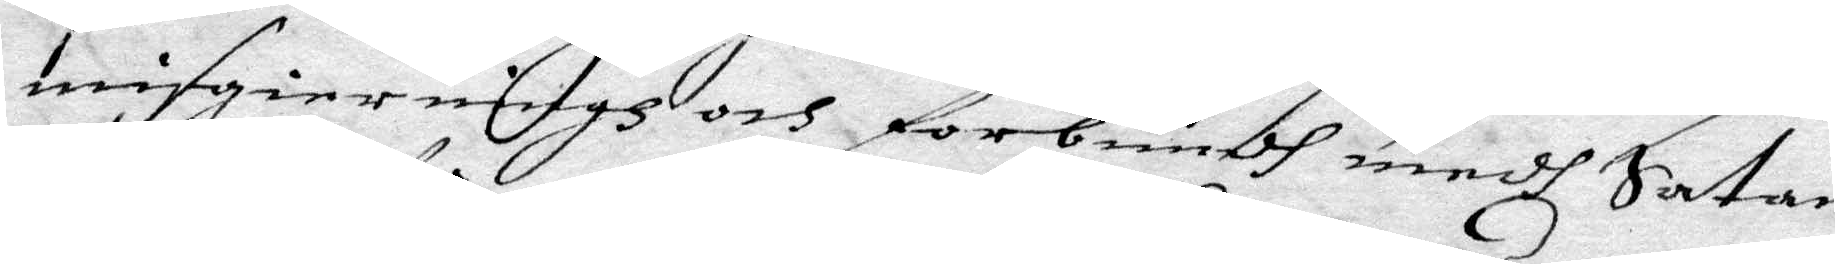misgierningh och forbundh medh Satan
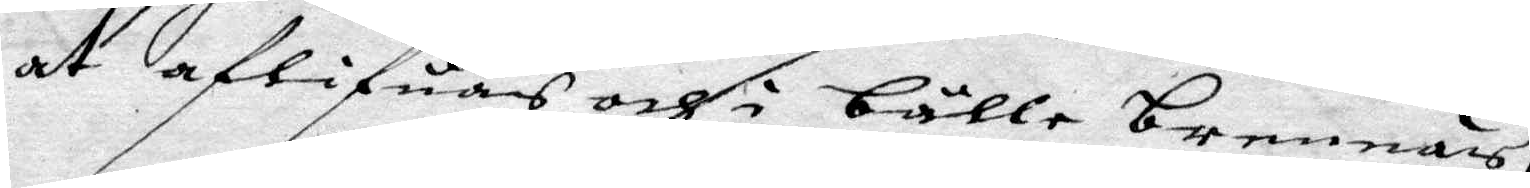at aflifuas och i bålle brennas,
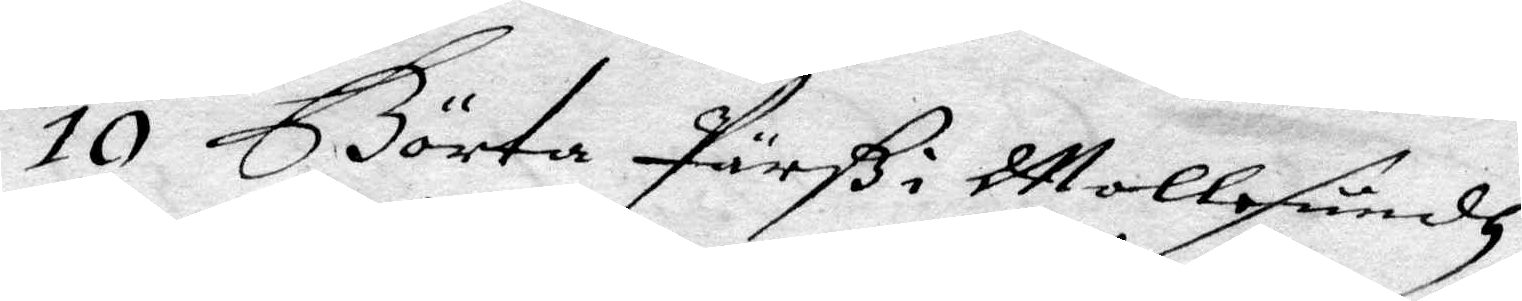10 Börta Pärß i Mollesundh
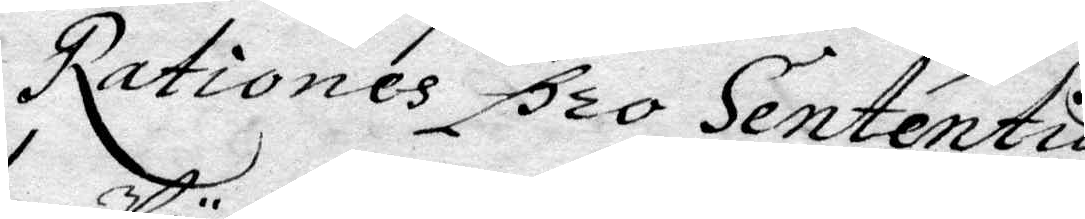Rationes pro Sententia.
